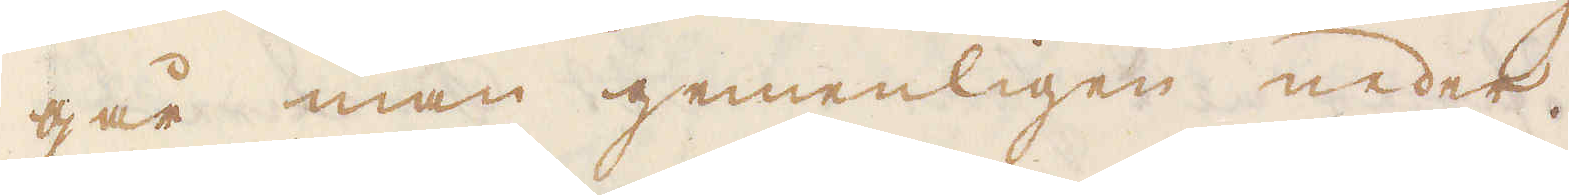går man gemenligen neder.
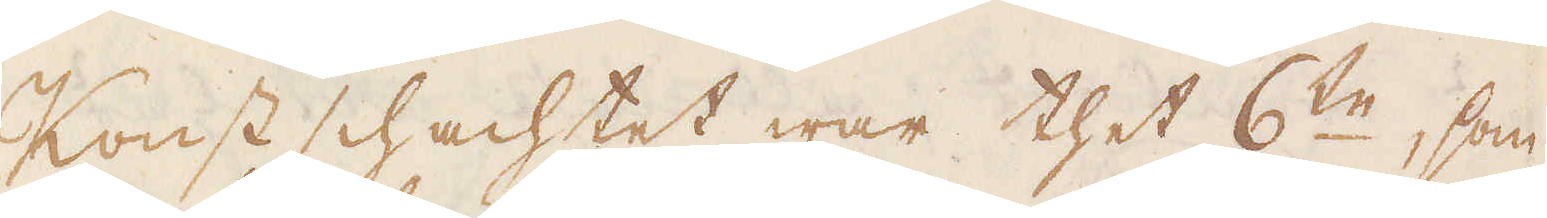Konst schachtet war thet 6:te, som
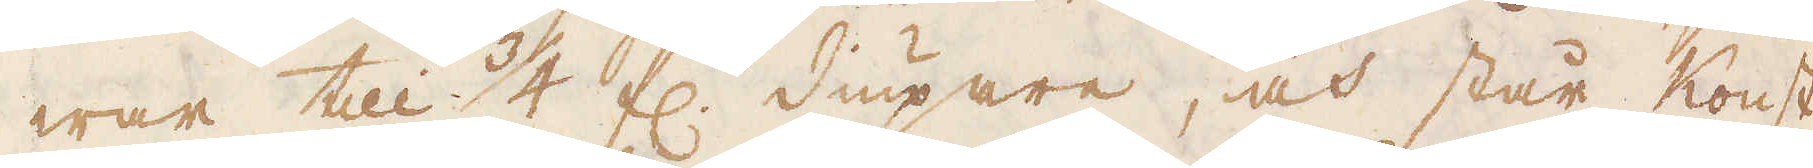war till 3/4 f:r diupare, och står Konst-
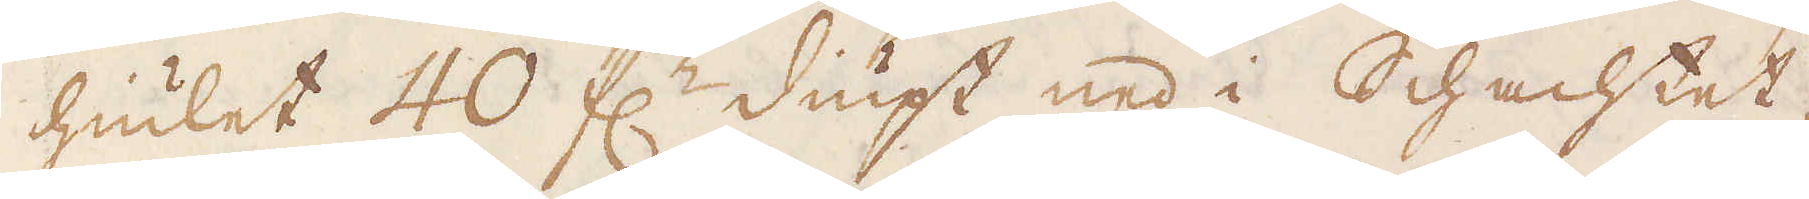hiulet 40 f:r diupt ned i Schachtet,
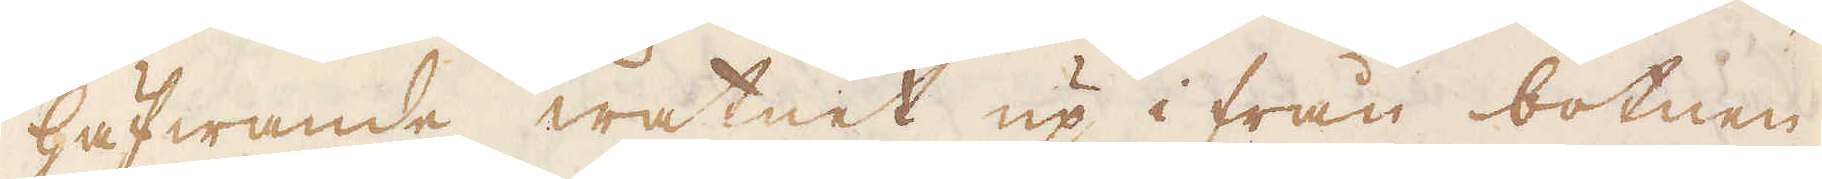häfwande watnet up i från botnen
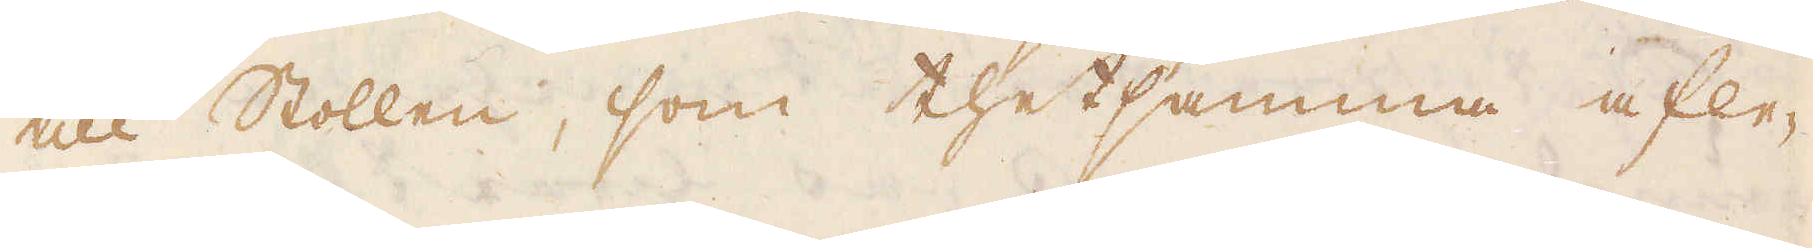till Stollen, som thet samma afle-
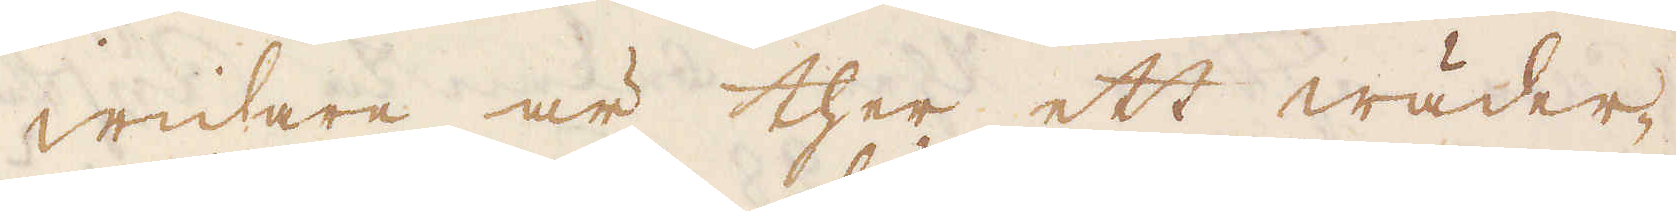Widare är ther ett wäder-
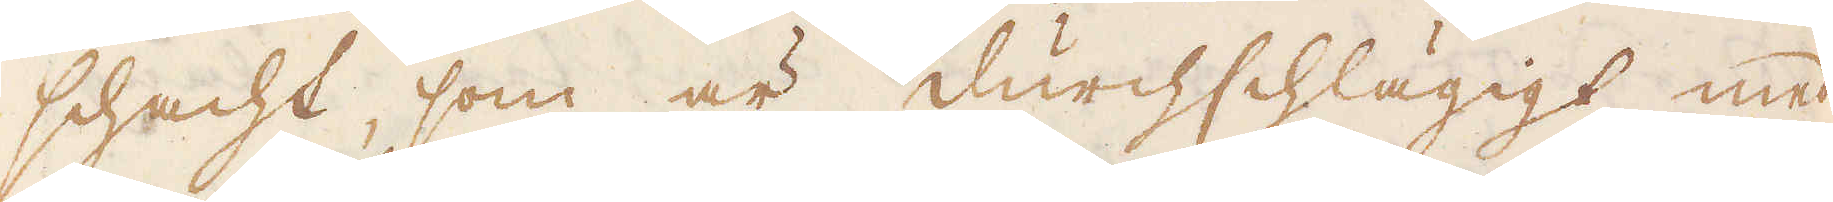schacht, som är durchschlägigt med
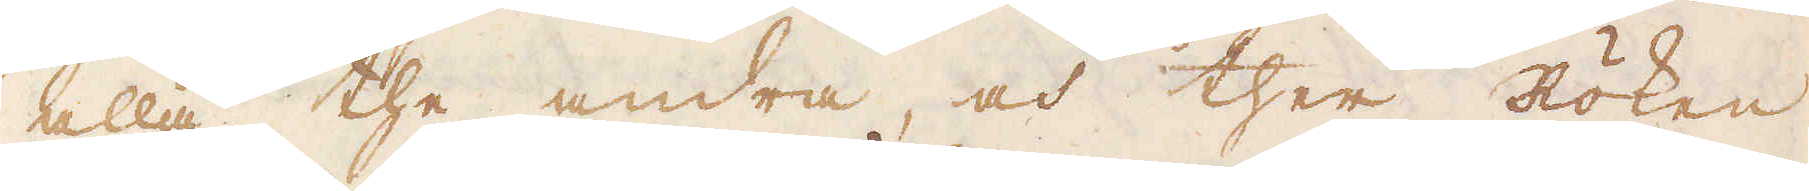alla the andra, och ther Röken
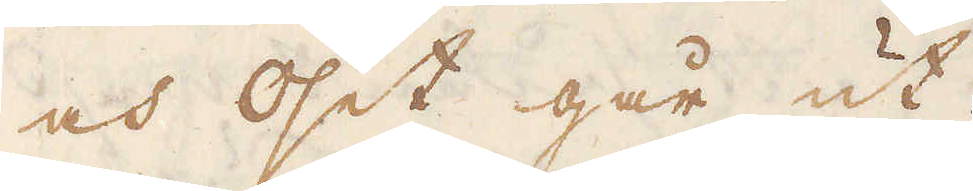och Oset går ut.
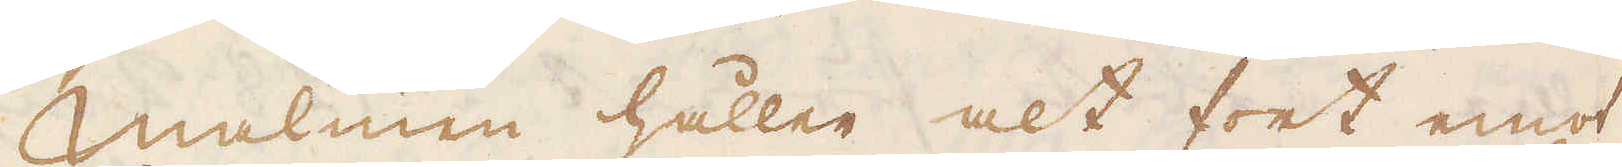Malmen håller alt fort emot
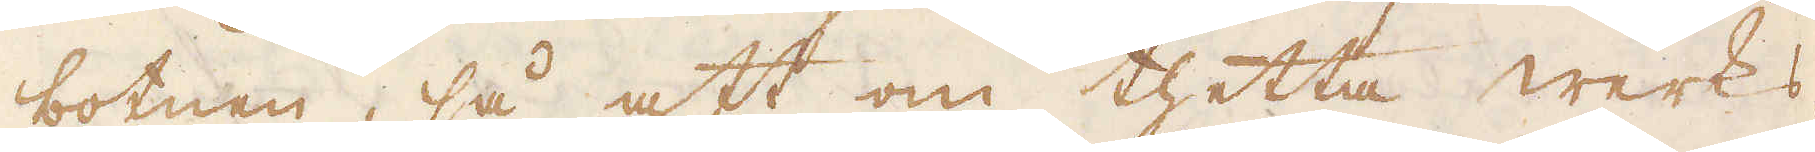botnen, så att om thetta werks
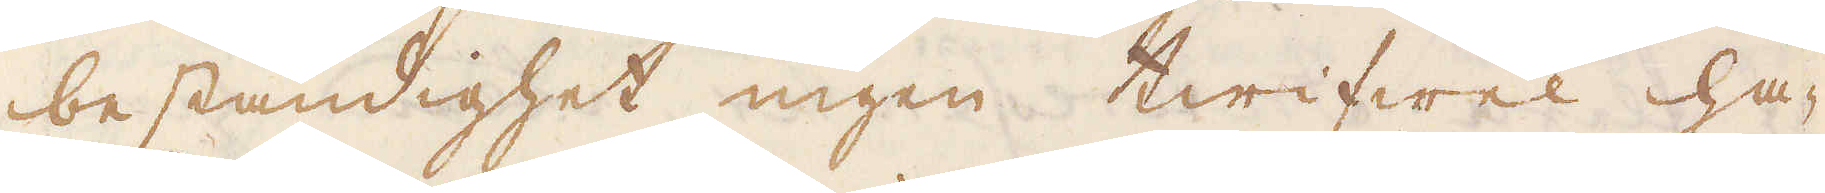beständighet ingen twifwel ha-
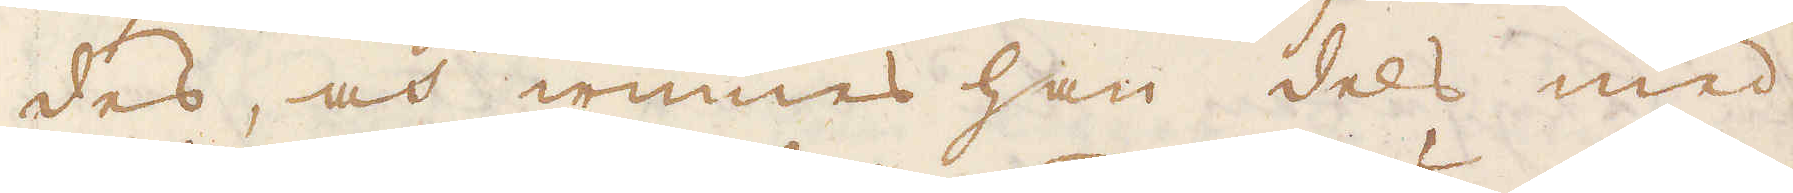des, och winnes han dels med
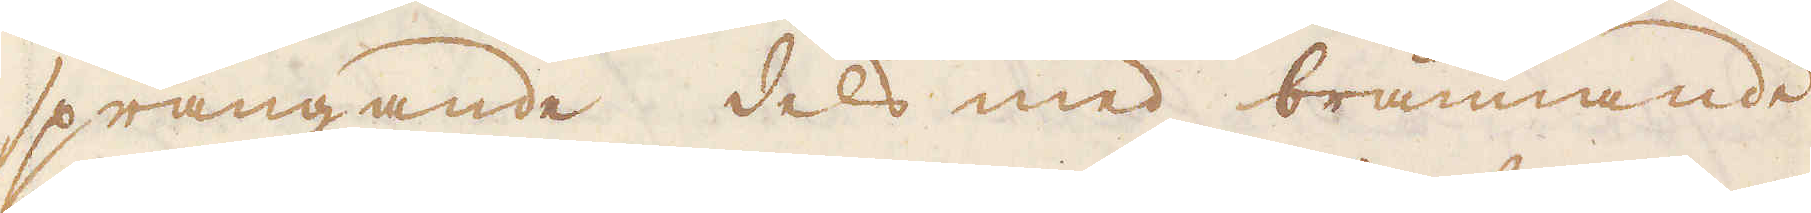sprängande dels med brännande
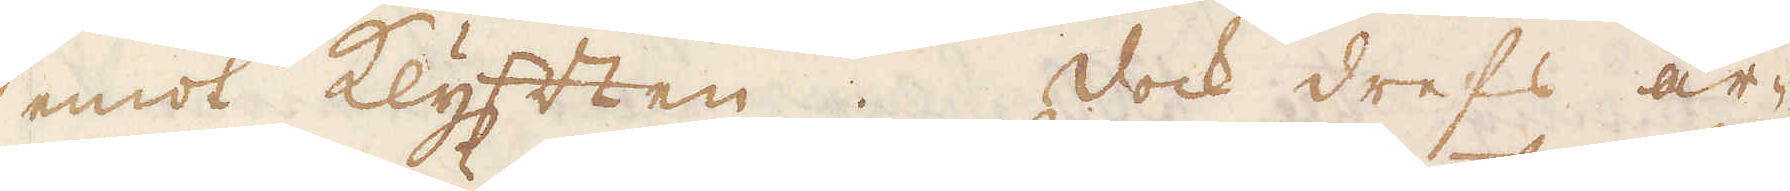emot Klyften. Dock drefs ar-
